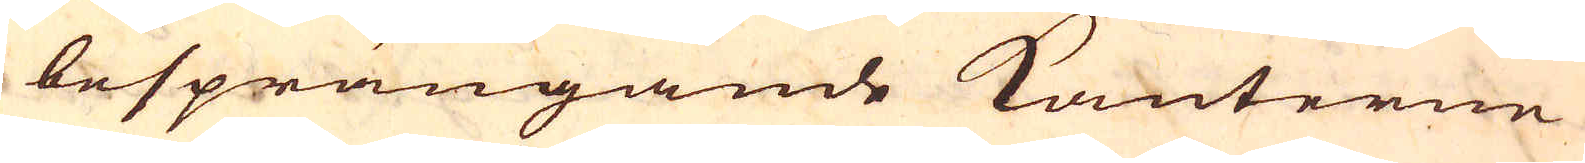besprängande kanterne
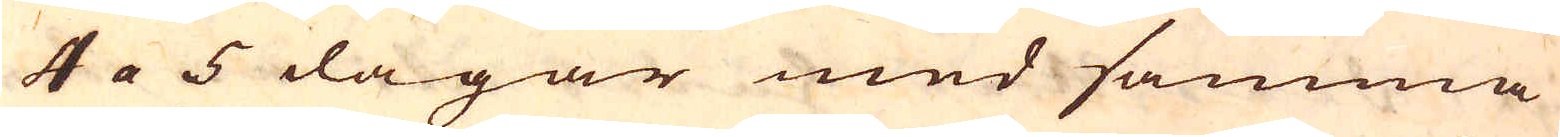4 a 5 dagar med samma
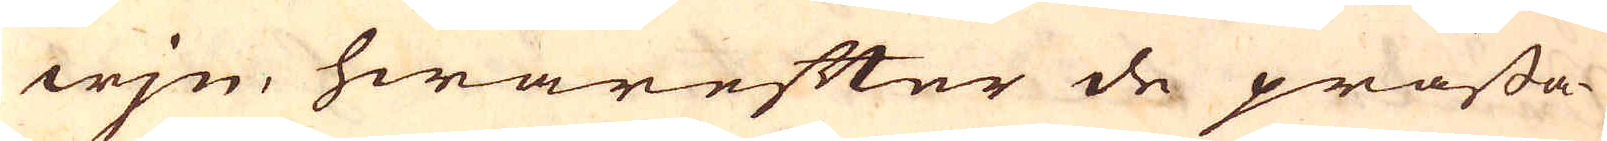wjn, hwarefter de prässa-
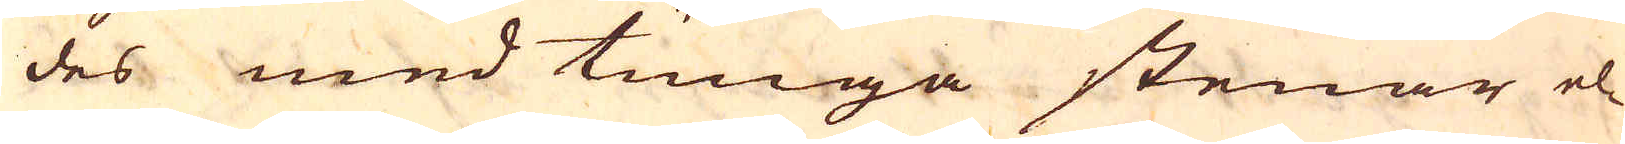des med tunga stenar el-
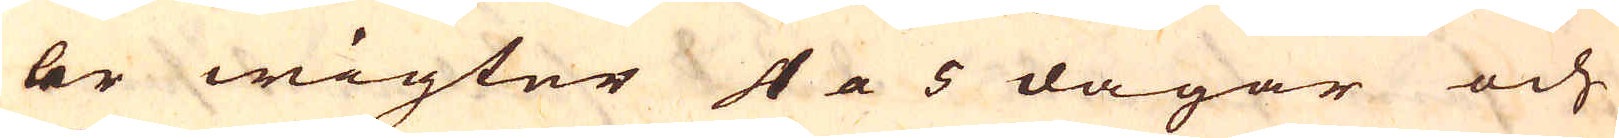ler wigter 4 a 5 dagar och
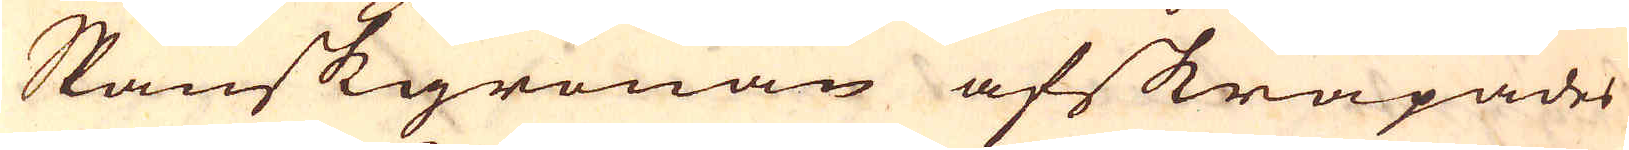Spanskgrönan afskrapades
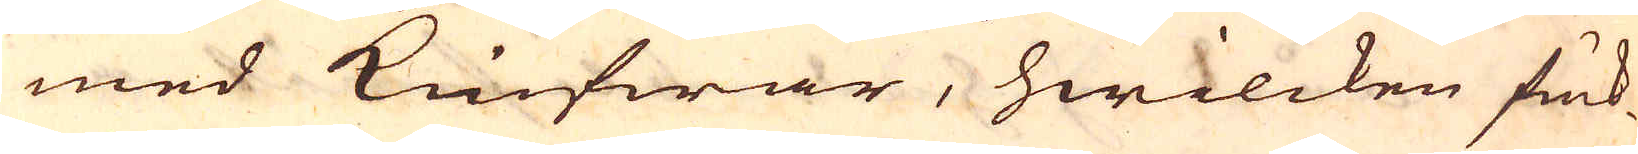med knifwar, hwilcken fuk-
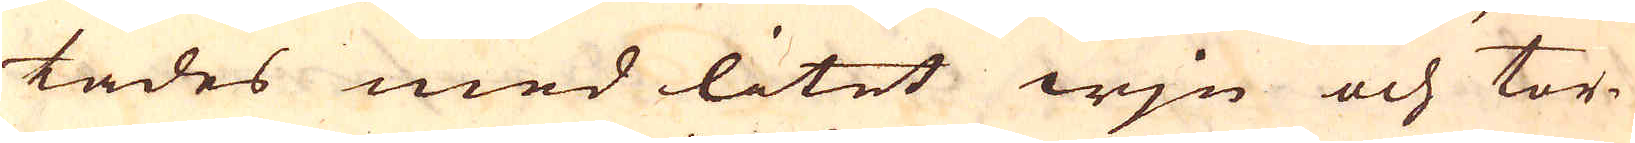tades med litet wjn och tor-
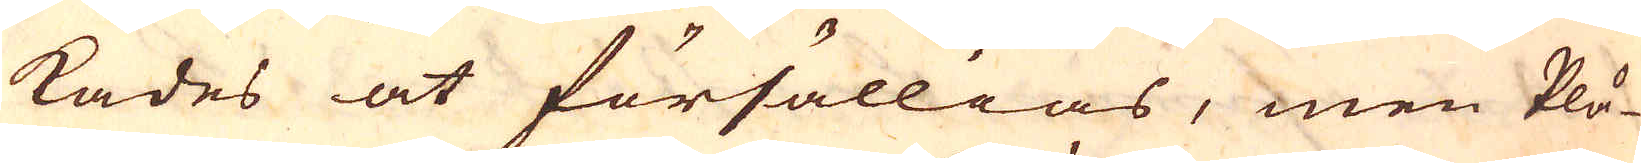kades at försällias, men Plå-
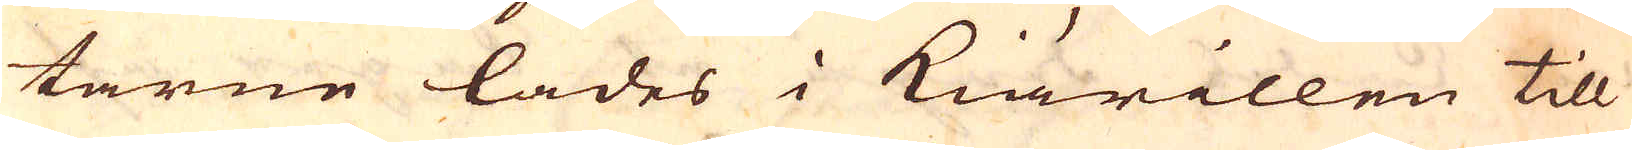tarne lades i Kiärillen till
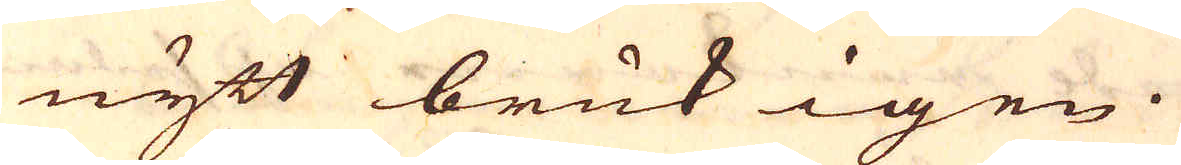nytt bruk igen.
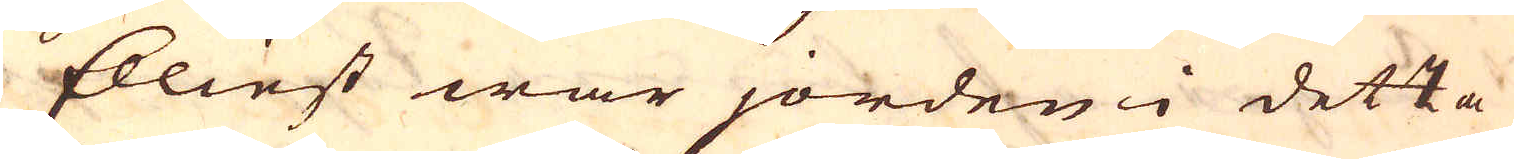Elliest war jorden i detta
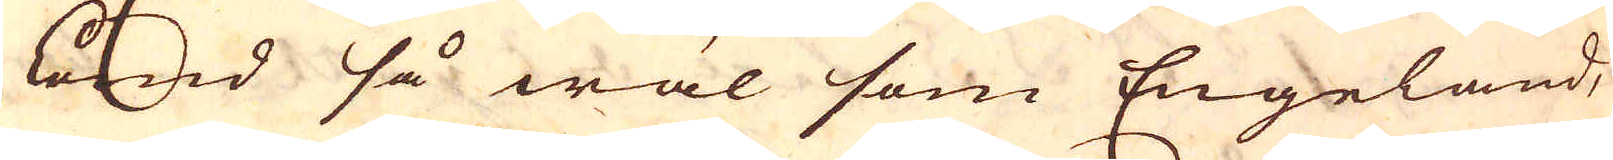Land så wäl som Engeland,
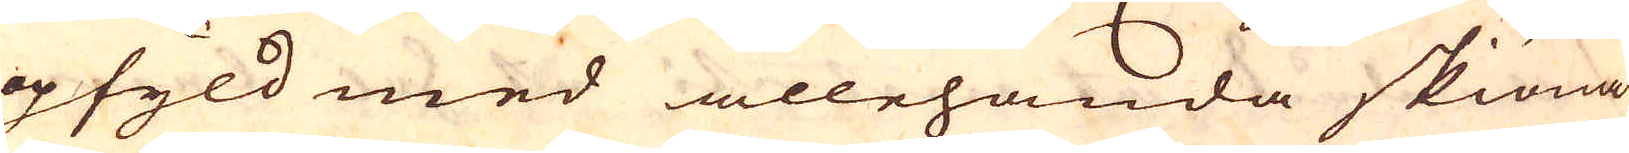opfyld med allehanda skiöna
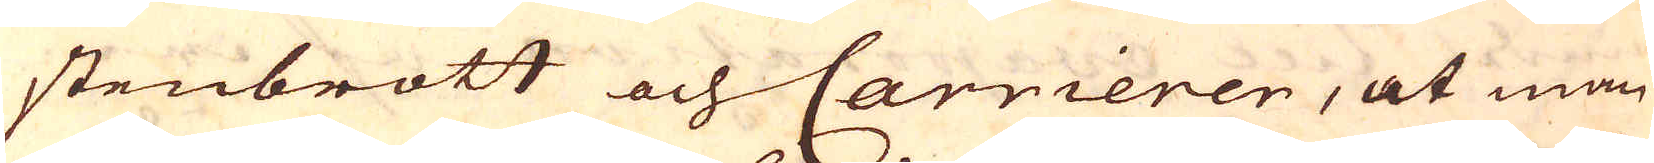stenbrott och Carrierer, at man
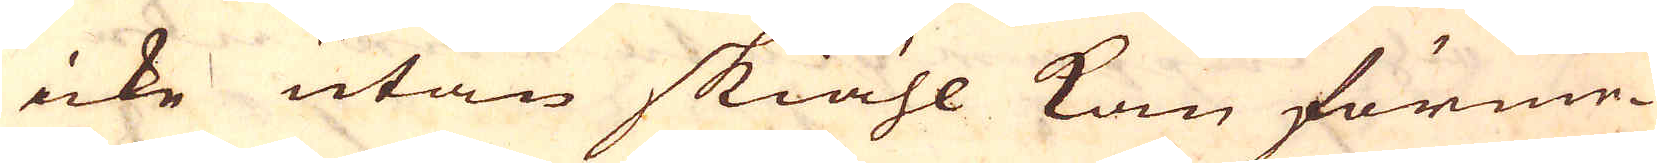icke utan skiähl kan förme-
